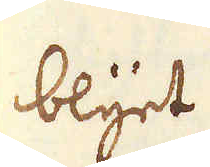blyet
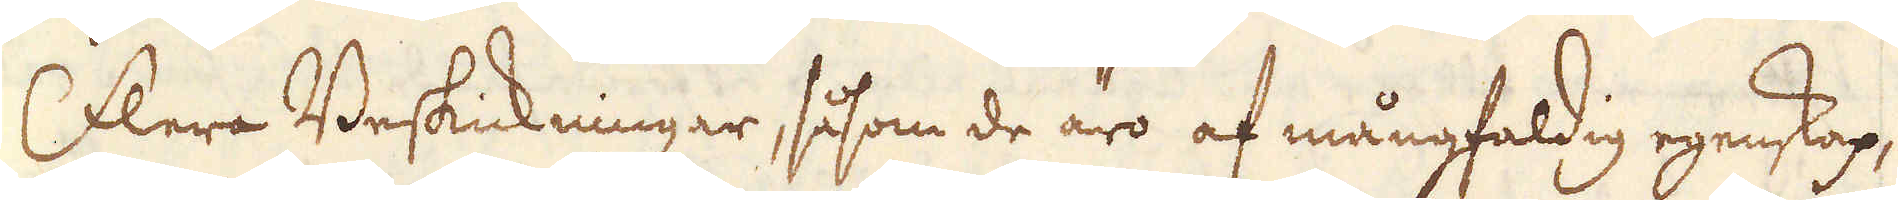Flera Beskickningar, såsom de äro af mångfaldig egenskap,
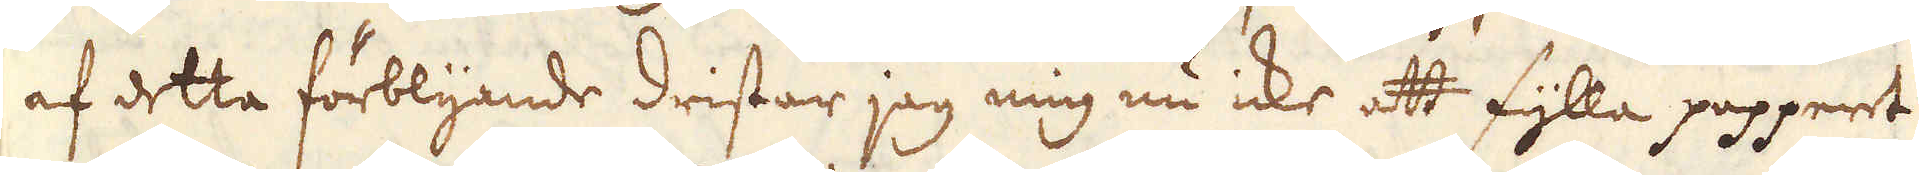af detta förblyande dristar jag mig nu icke att fylla papperet
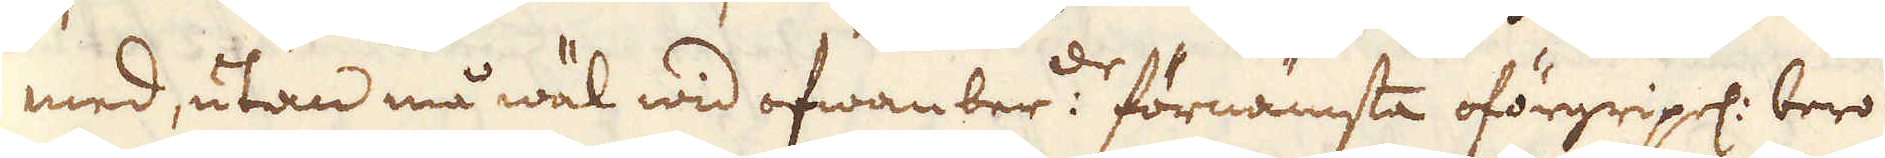med, utan må wäl wid ofwanber:de förnämsta oförgripel: bero
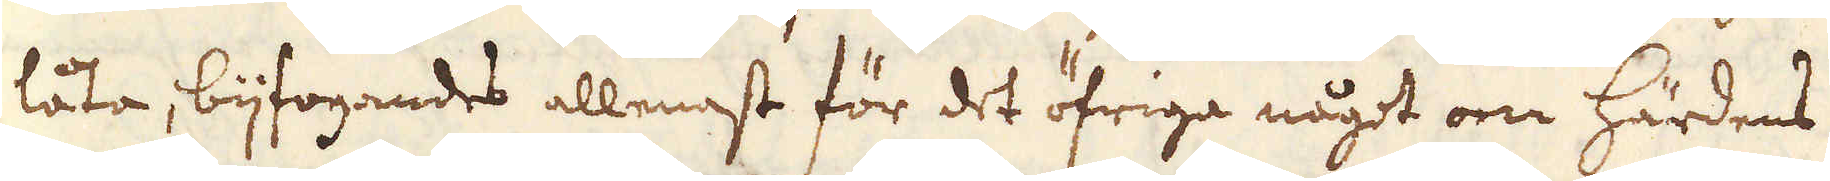låta, bijfogandes allenast för det öfriga något om härdens
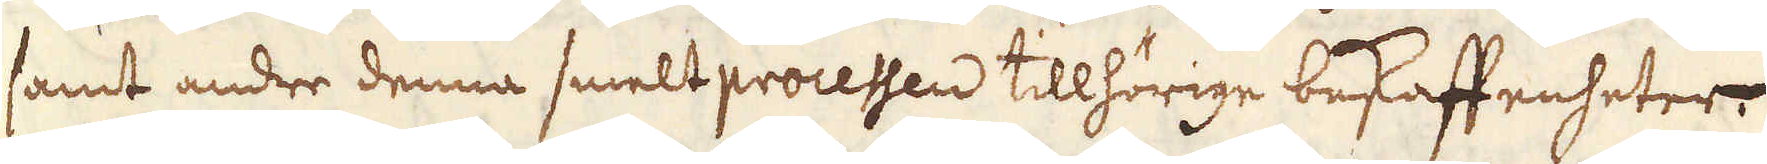samt andre denna smelt processen tillhörige beskaffenheter.
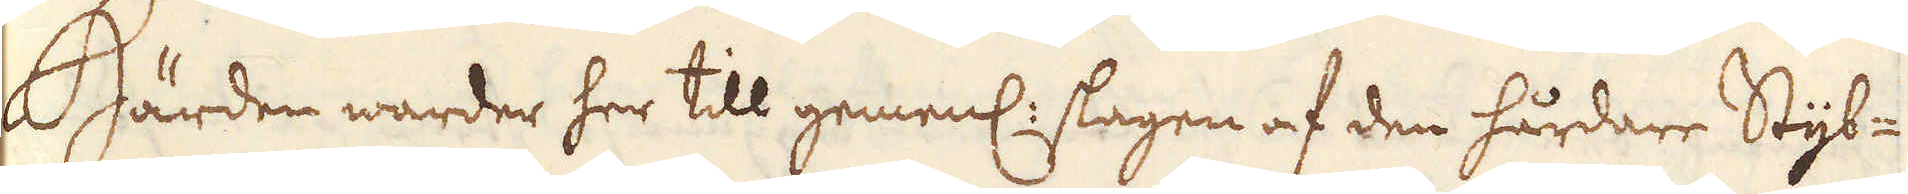Härden warder her till gemenl: slagen af den hårdare Styb-
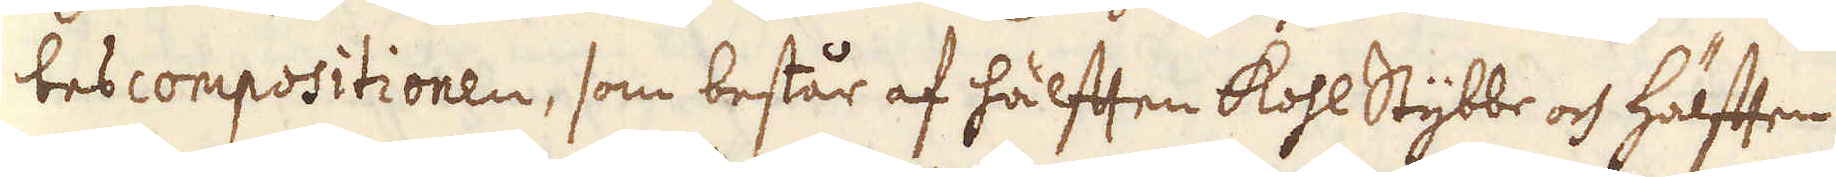bescompositionen, som består af hälften kohl Stybbe och hälften
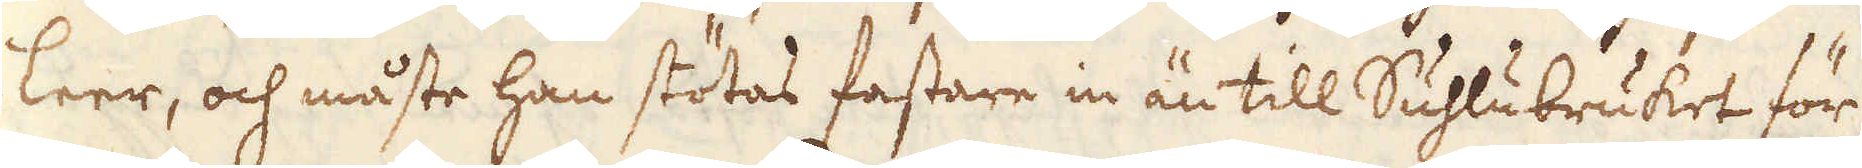leer, och måste han stötas fastare in än till Suhlubruket för
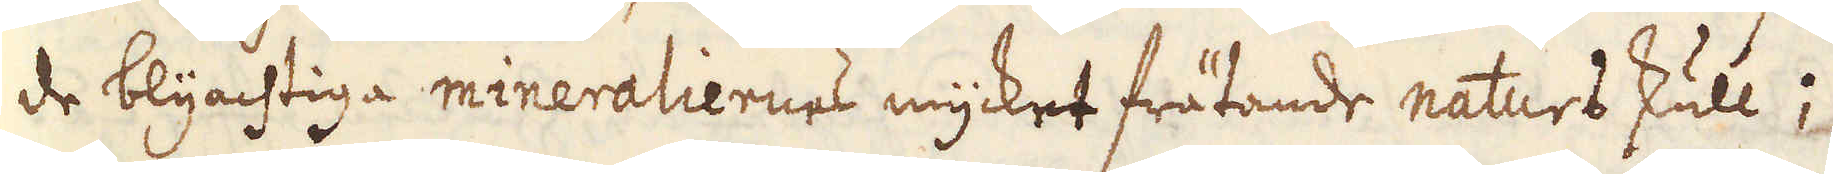de blyachtiga mineraliernes mycket frätande naturs skull;
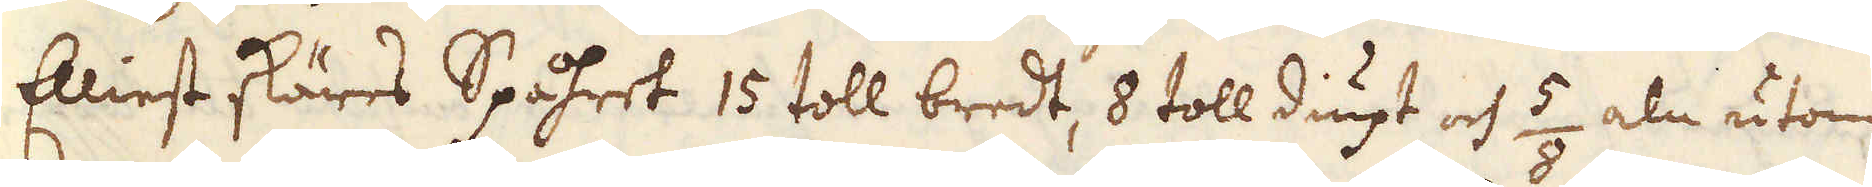Elliest skäres Spåhret 15 toll bredt, 8 toll diupt och 5/8 aln utom
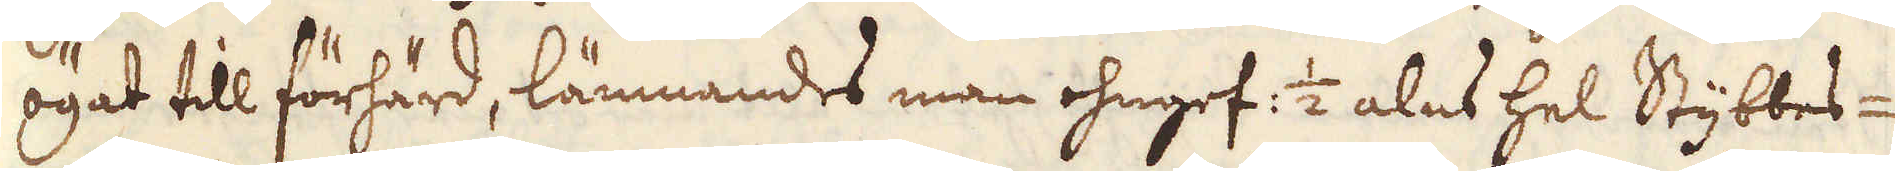ögat till förhärd, lämnandes man ohngef: 1/2 alns hel Stybbes-
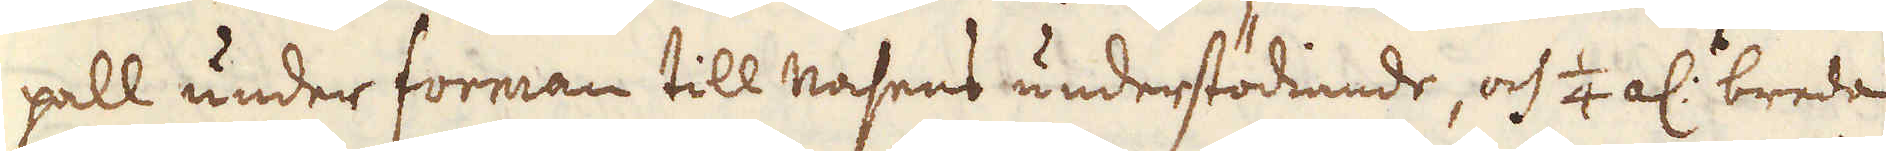pall under forman till nasens understödiande, och 1/4 al:s breda
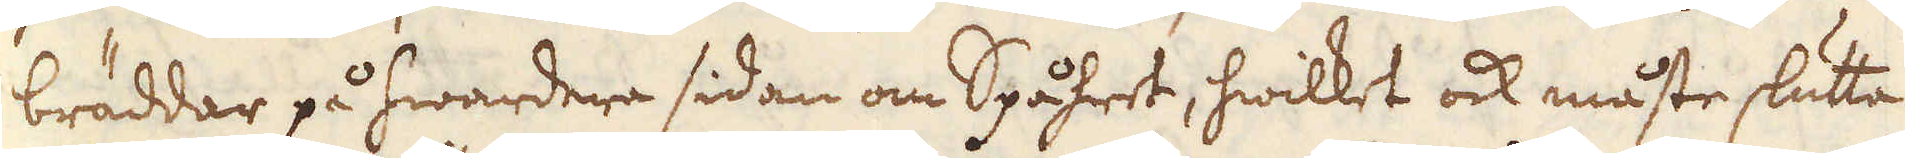bräddar på hwardera sidan om Spåhret, hwilket ock måste slutta
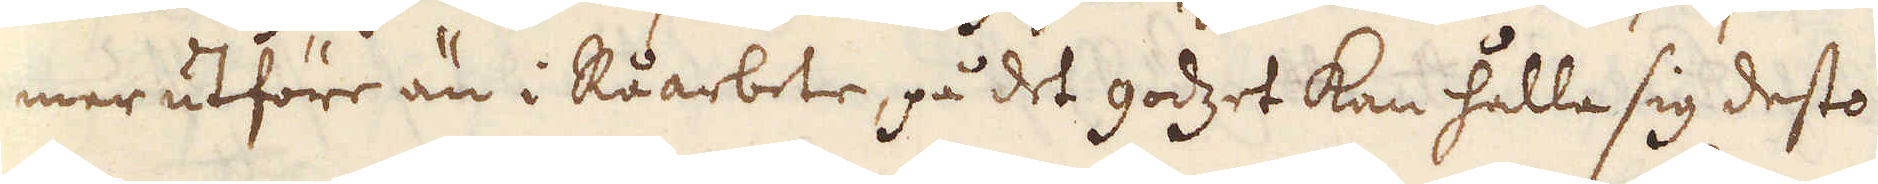mer utföre än i Råarbete, på det godzet kan hålla sig desto
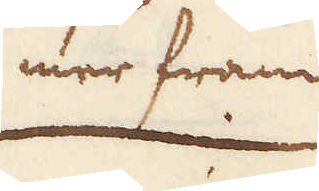mer fram
